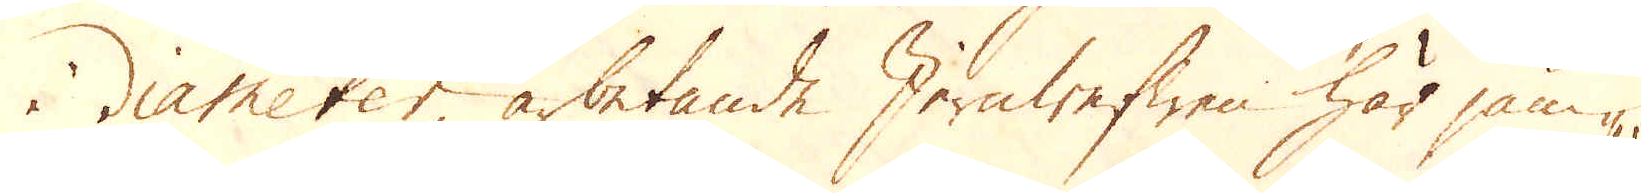i diameter, arbetande Jernwefwen här jäm-
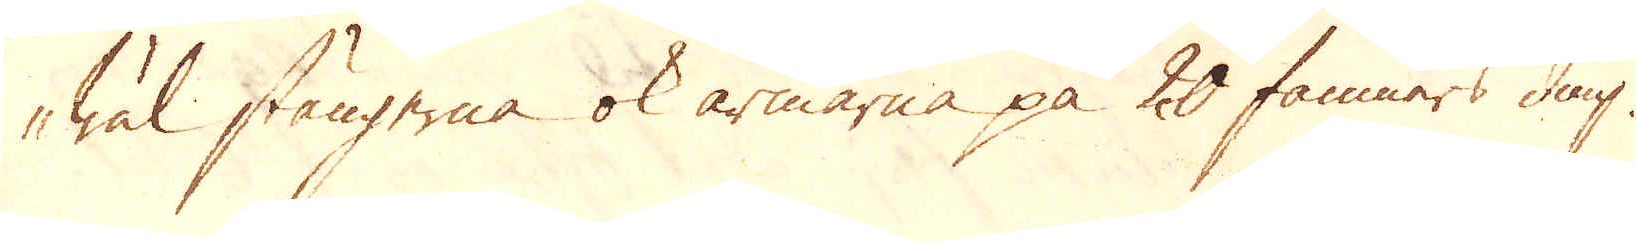wäl stängerna ok armarna på 20 famners diup.
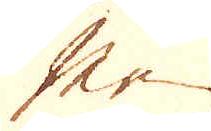Men
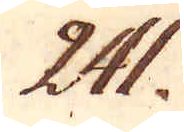241.
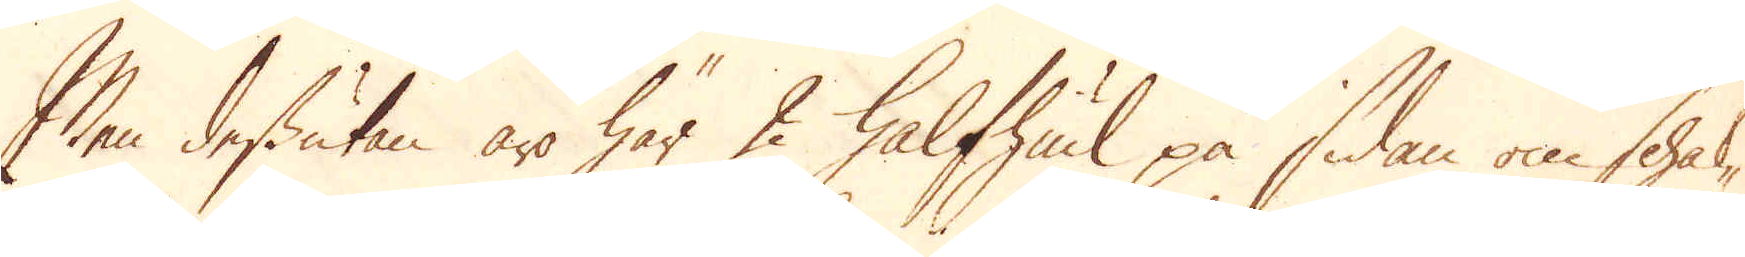Men dessutan äro här 2 halfhiul på sidan om schak-
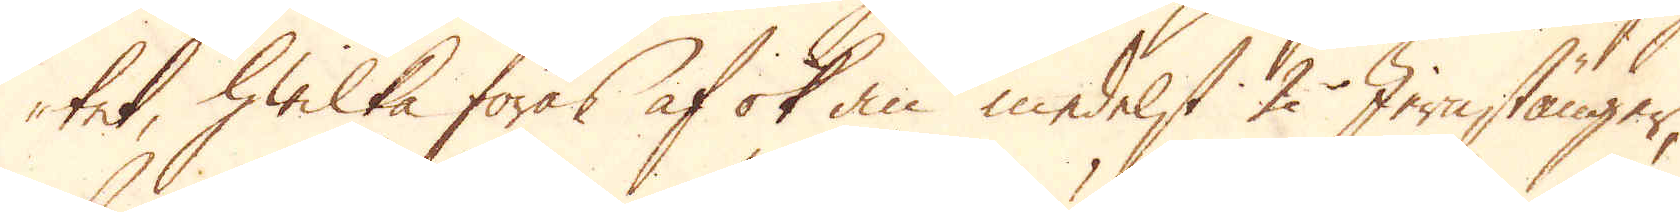tet, hwilka föras af ok an medelst 2 Jernstänger,
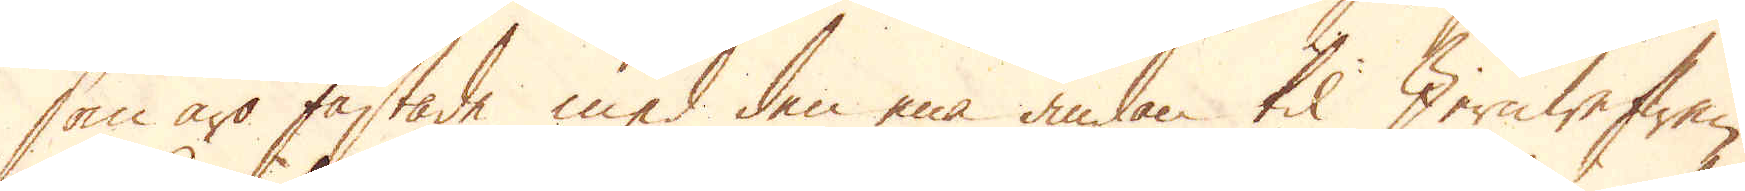som äro fästade med den ena ändan til Jernwefwen,
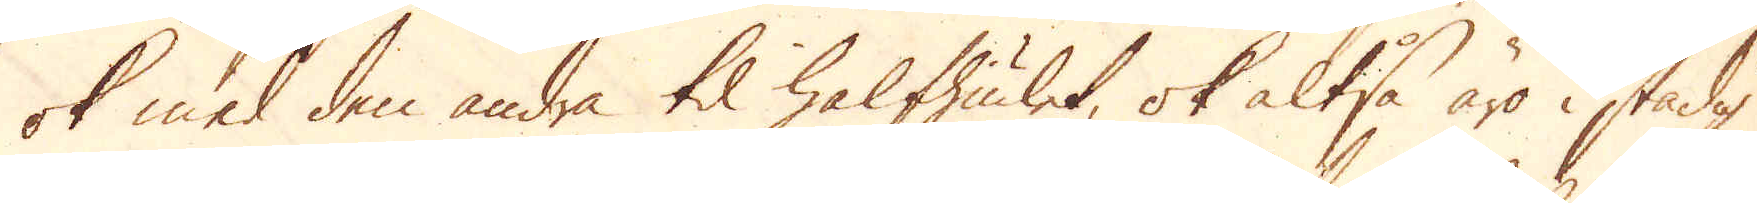ok med den andra til halfhiulet, ok altså äro i stadig
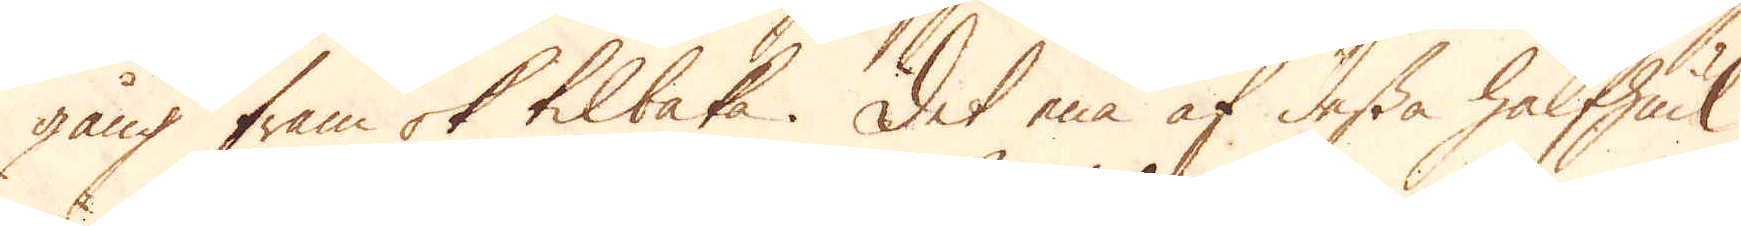gång fram ok tilbaka. Det ena af dessa halfhiul
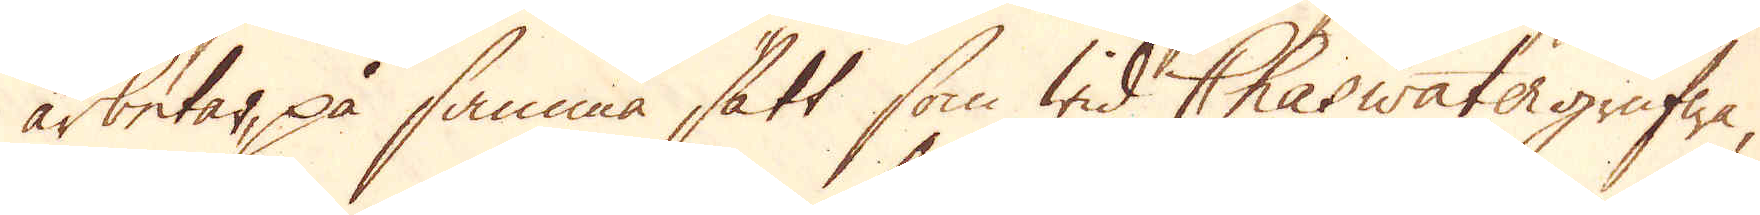arbetar, på samma sätt som wid Chaswatergrufwa,
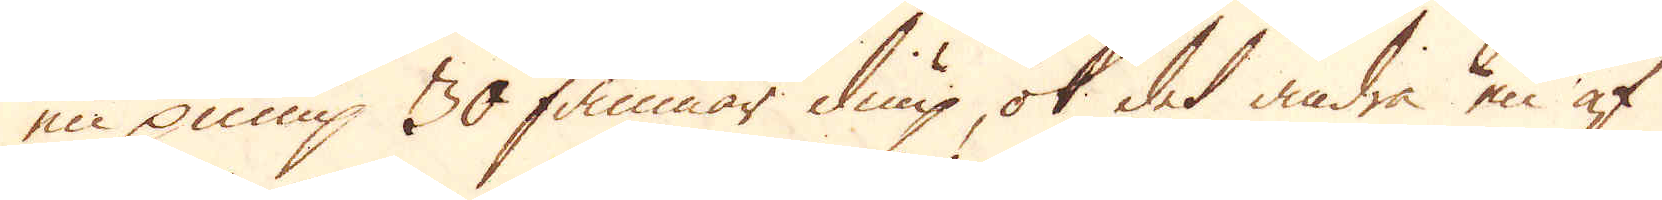en pump 30 famnar diup, ok det andra en af
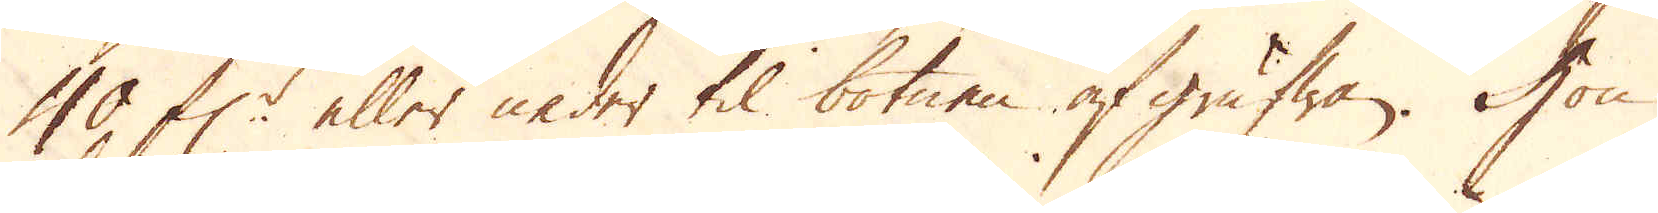40 f:r eller neder til botnen af grufwan. Hon
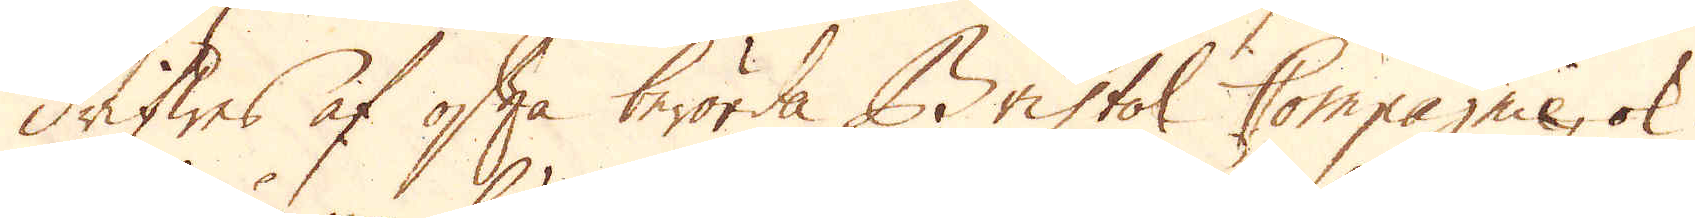drifwes af ofta berörda Bristol Compagnie, ok
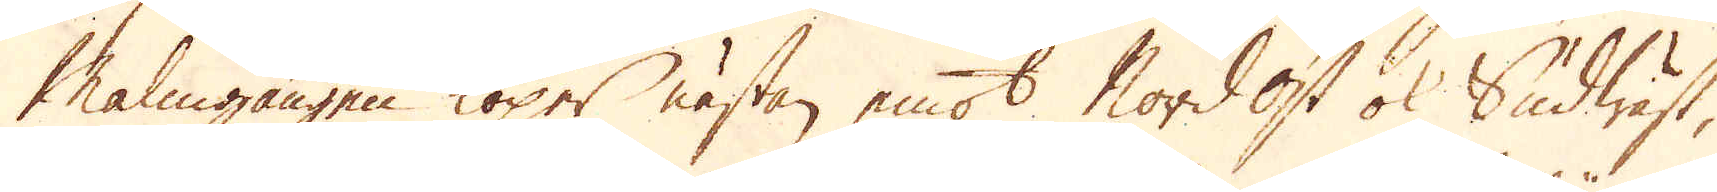Malmgången löper nästan emot Nordost ok Sudwäst,
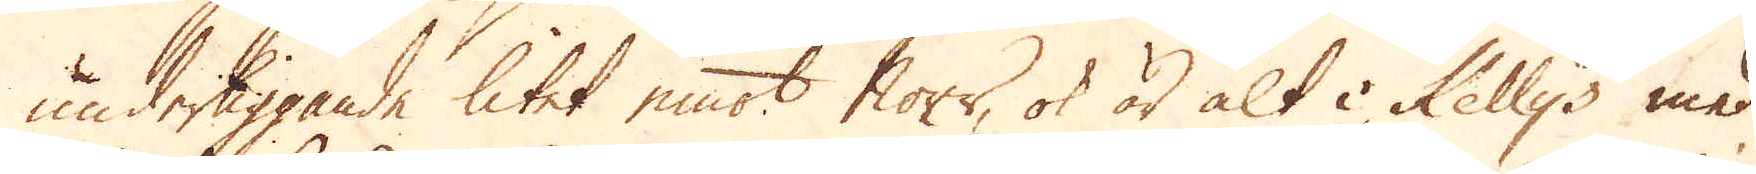underliggande litet emot Norr, ok är alt i Kellys med
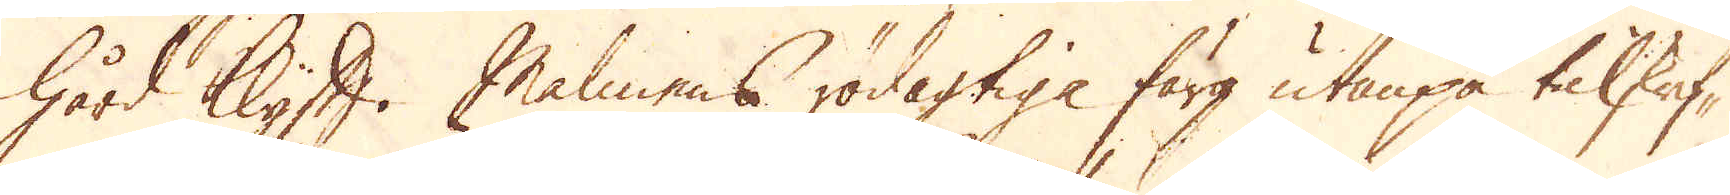hård Klyft. Malmens rödagtiga färg utanpå tilskrif-
